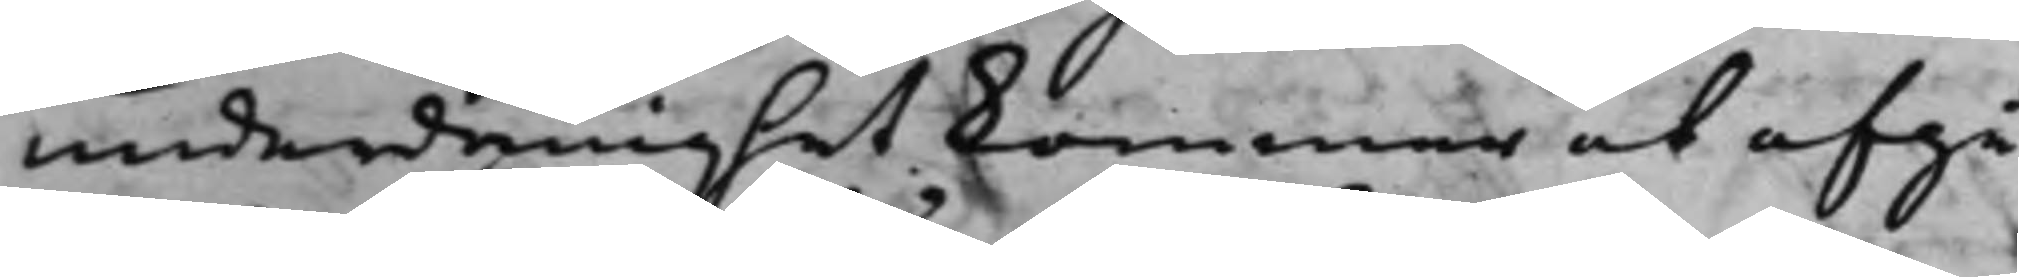underdånighet kommer at afgå;
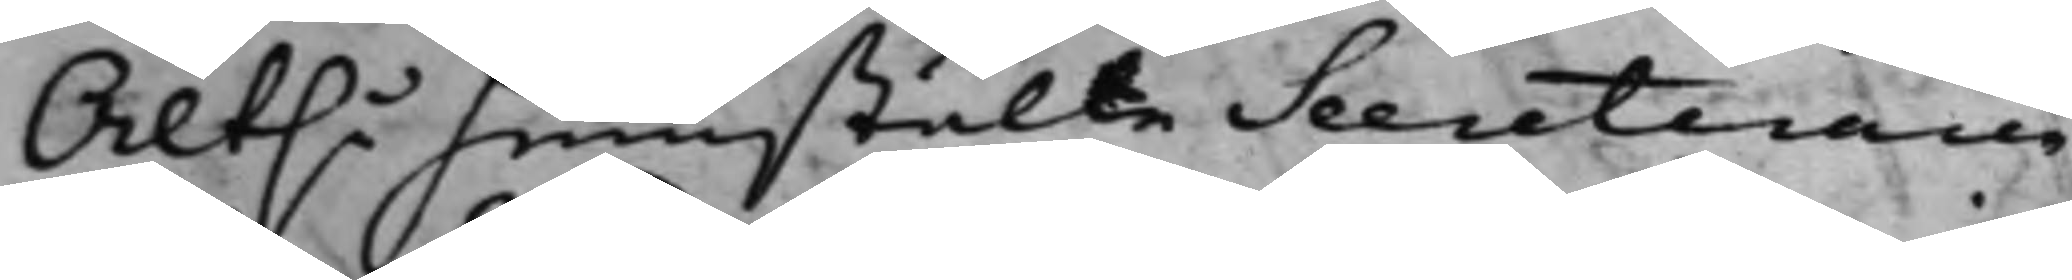Altså hemstälte Secreteraren
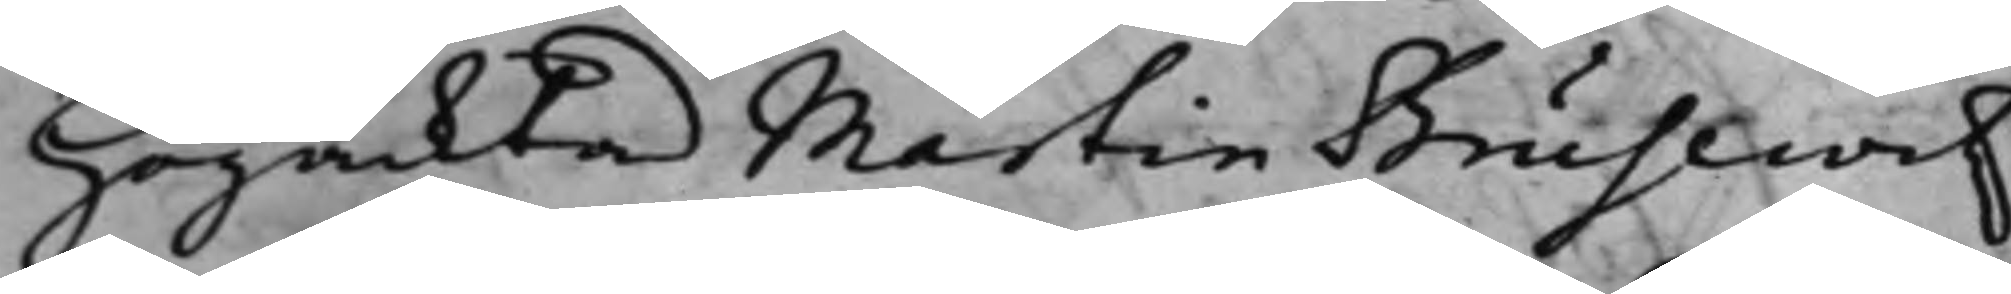Högacktad Martin Brusewitz
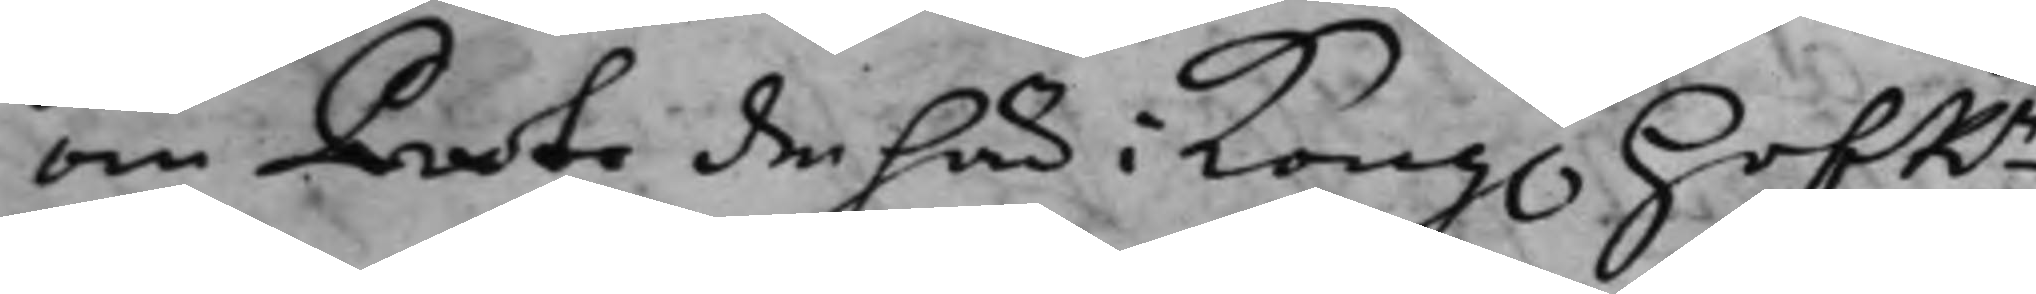om Proto den häri Kong. HofRn
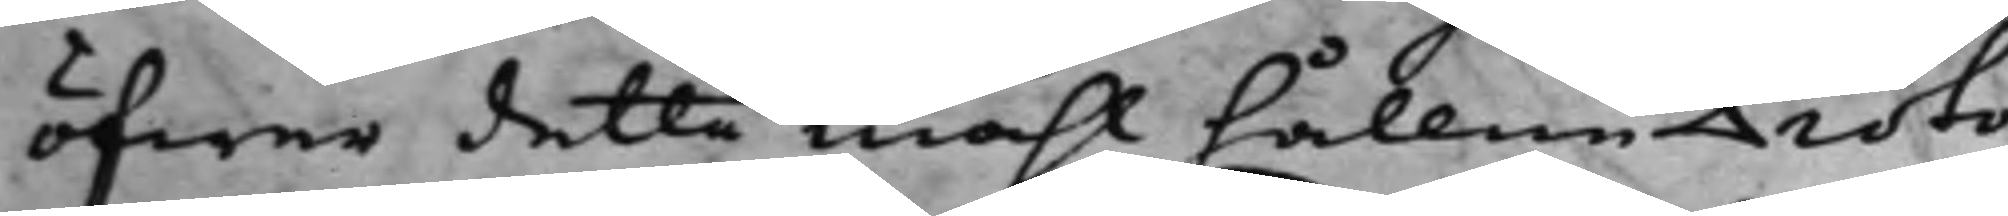öfwer detta måhl hållne Proto¬
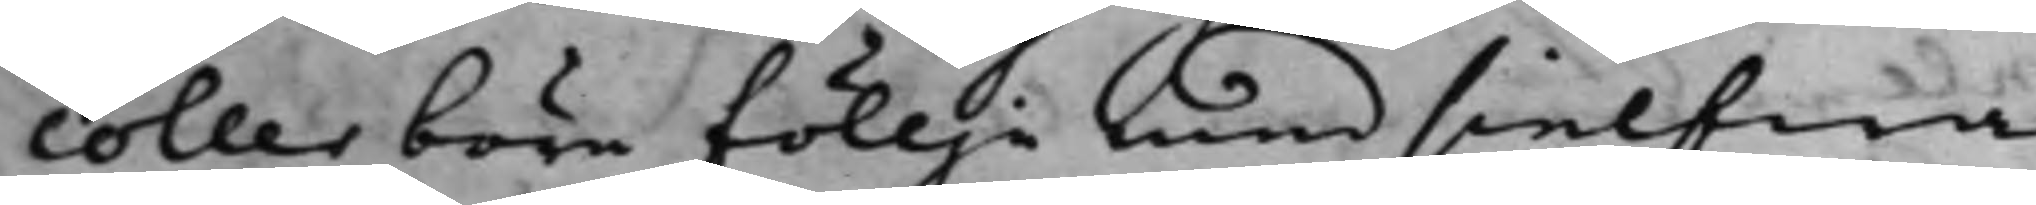coller böra föllje med sielfwa
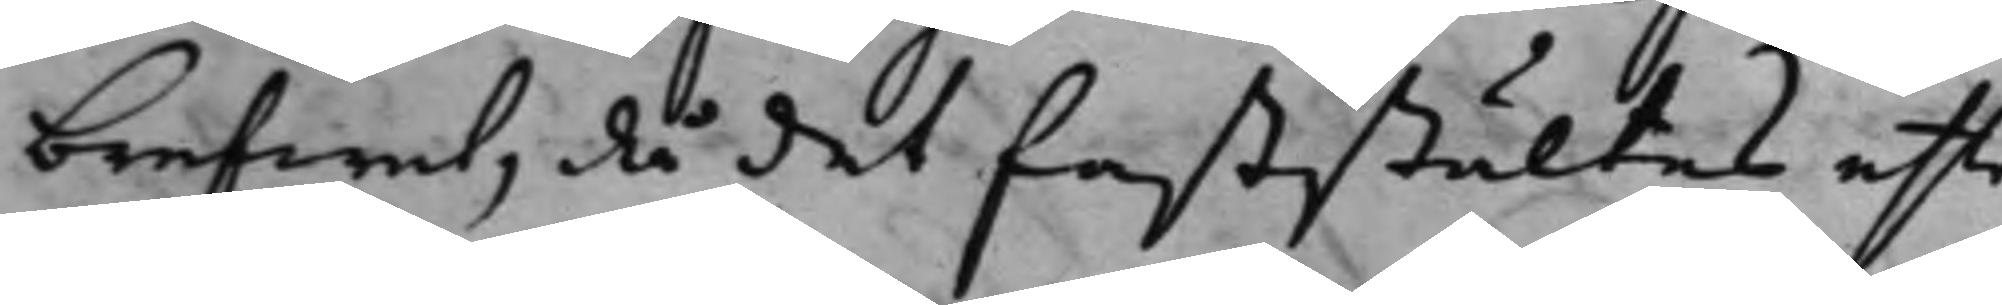brefwet, då det faststältes efter
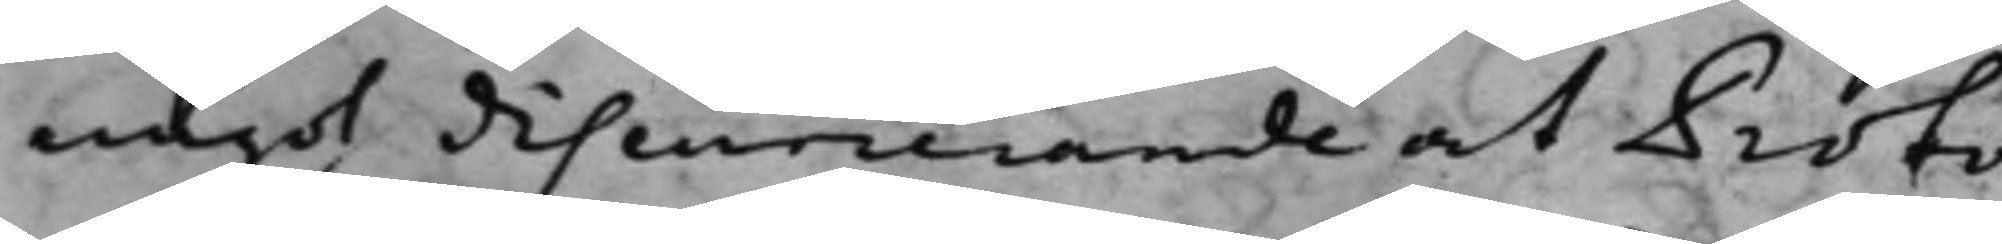något discurrerande at Proto¬
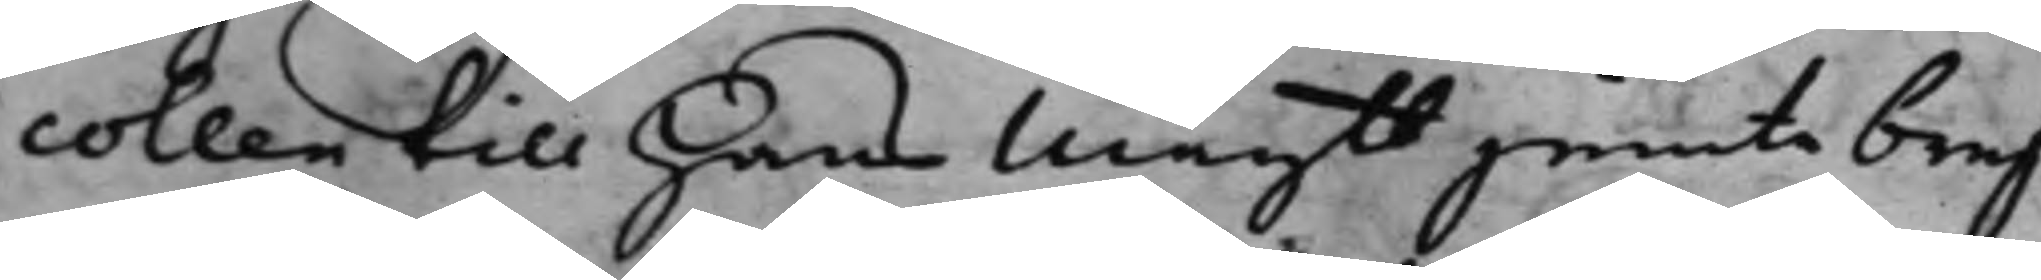collen till Hans Maytt jemte bref¬
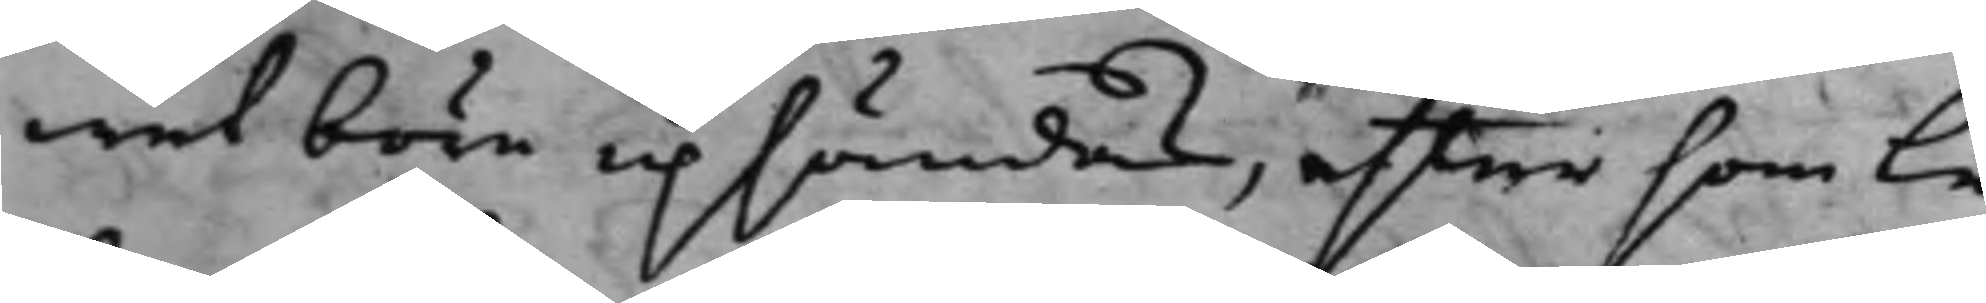wet böra upsändas, eftersom Le¬
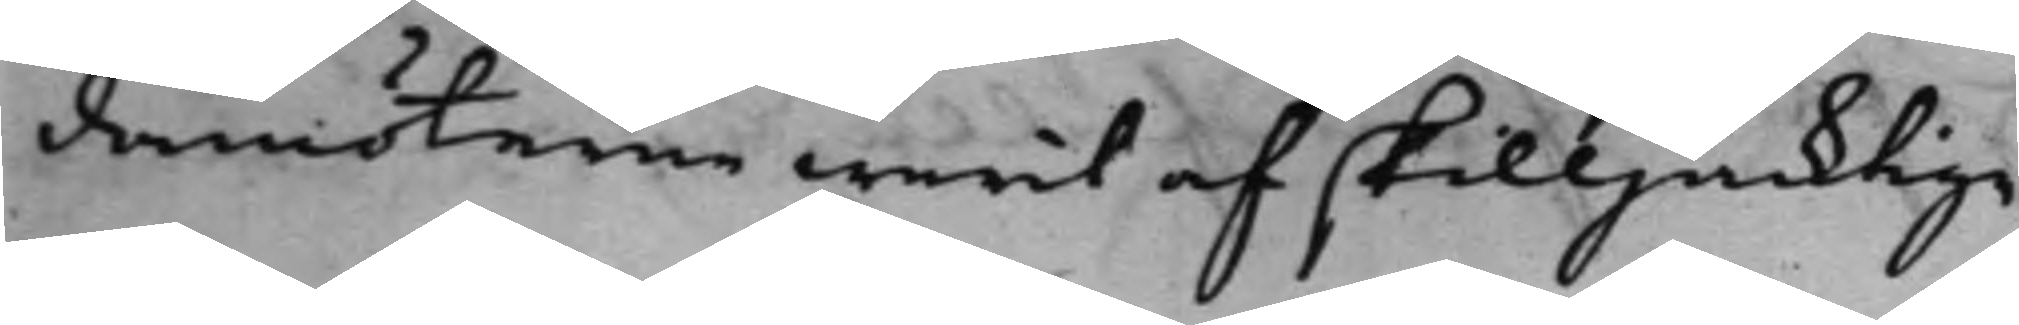damöterne warit af skilljacktige
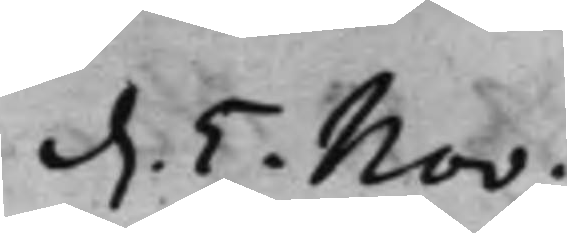d. 5. Nov:
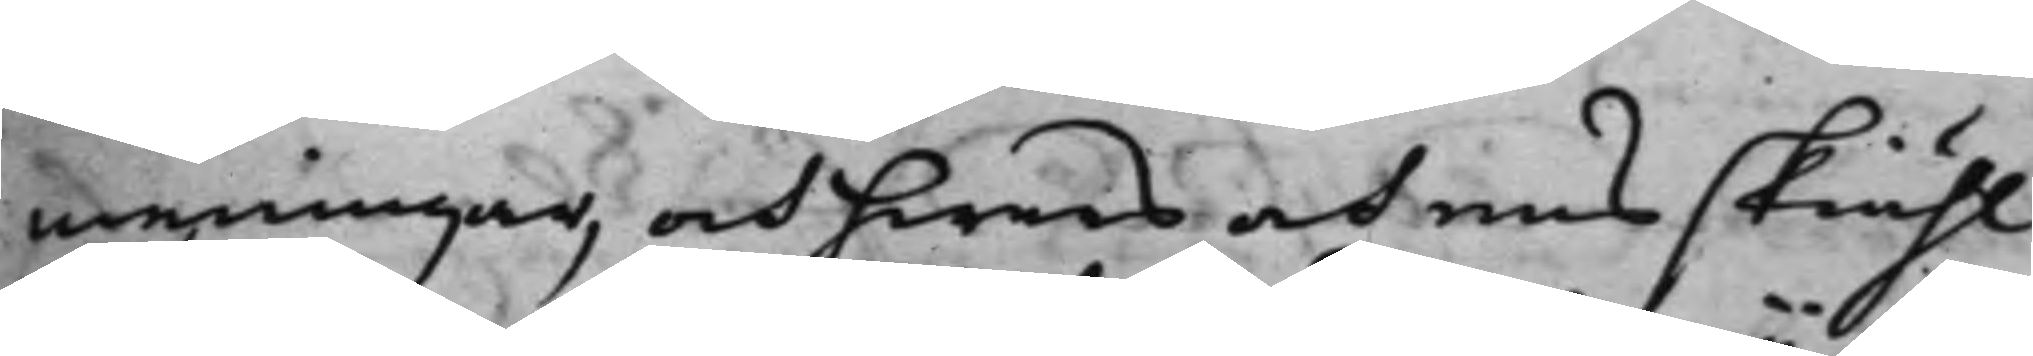meningar, och hwars och ens skiähl
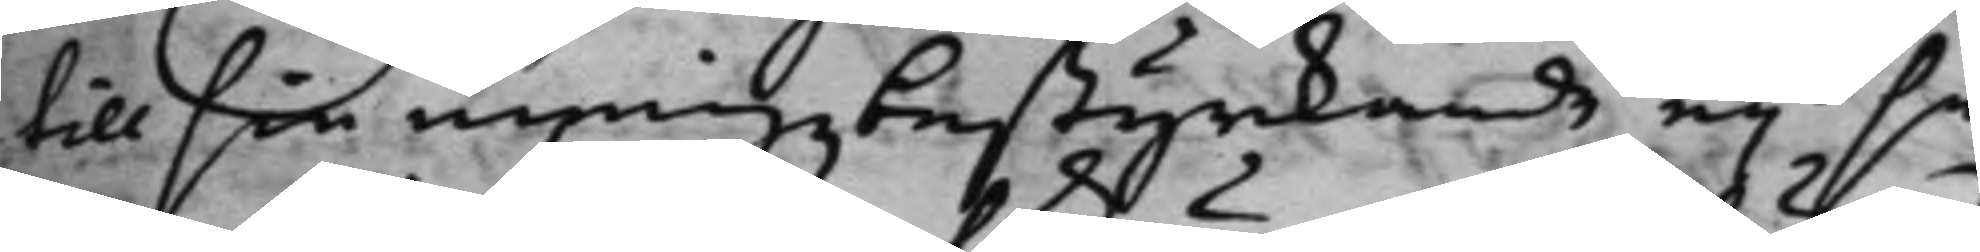till sin meningz bestyrckande ey så
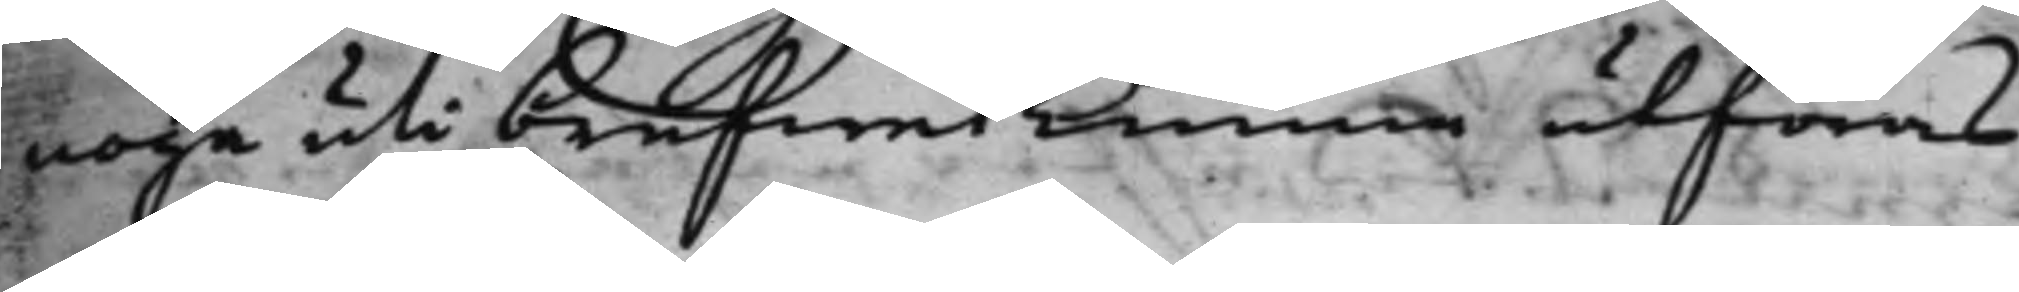noga uti brefwet kunna utföras
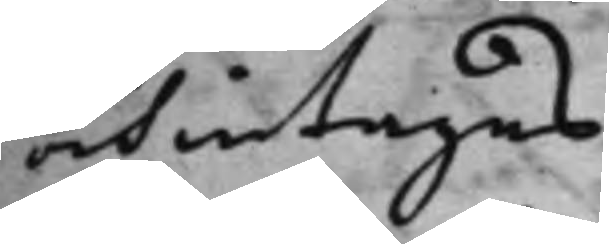och intagas.
